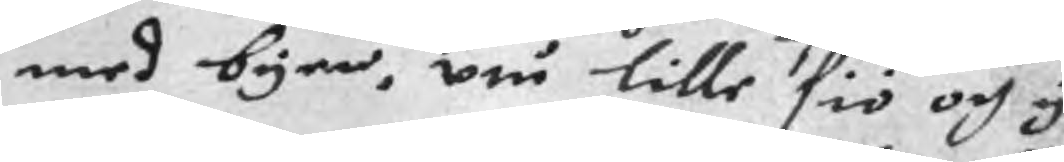med byen, uti lille siö och y
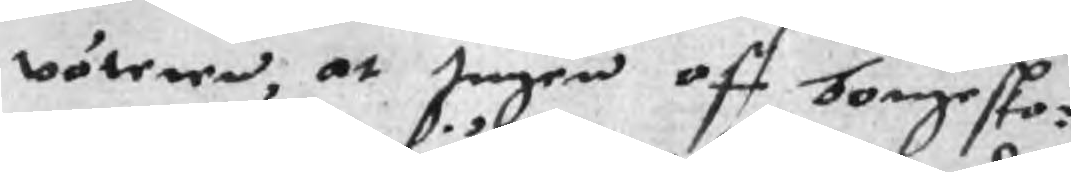wöteren, at Ingen aff borgeska¬
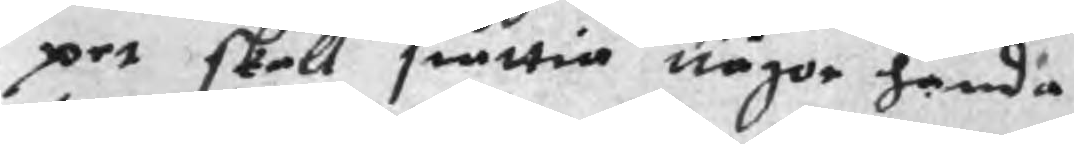pet skall siättia någon handa
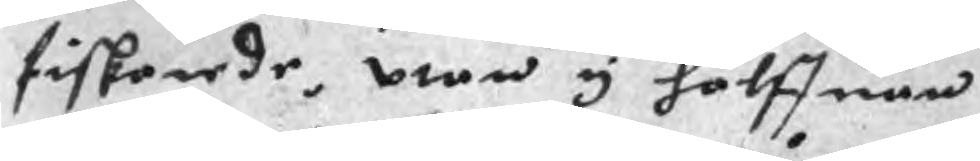fiskerede, utan y halffuan
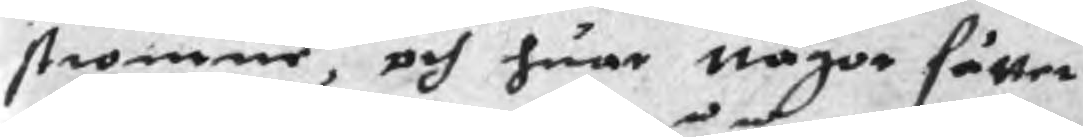strommen, och huar något sätter
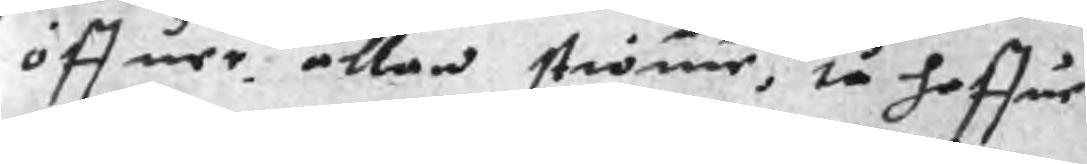öffuer allan strömmen, så haffue
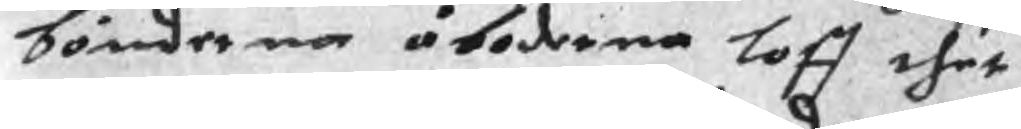bönderna åboderna loff thet
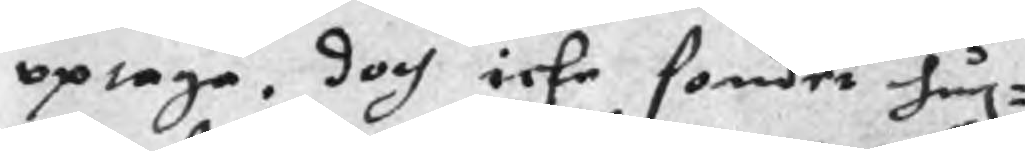optaga, doch icke sondor hug¬
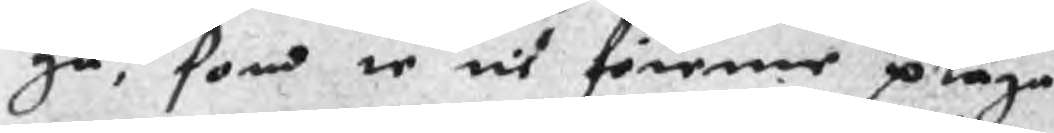ga, som te tit förene pläga
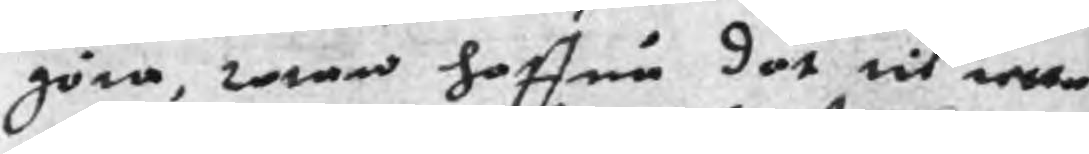göra, war haffua dät tit retta
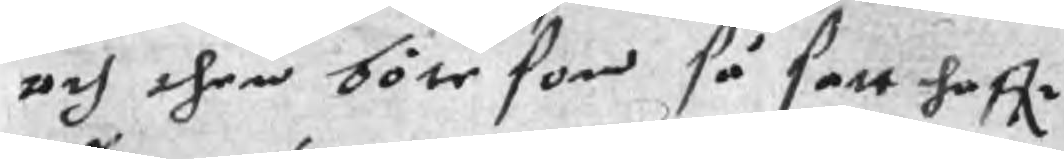och then böte som så satt haffr
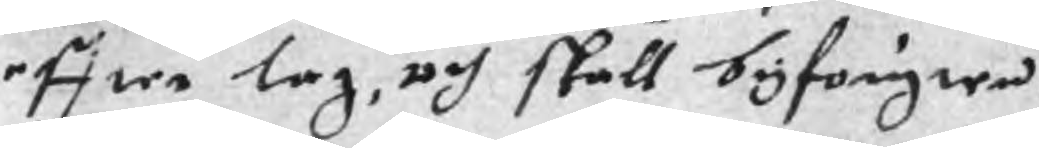effter lag, och skall byfougten
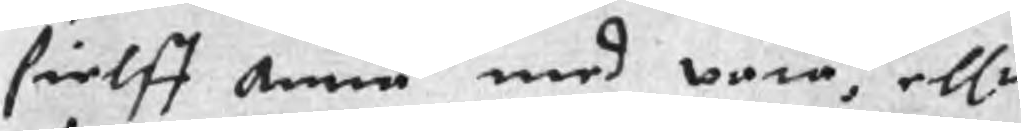sielff Annu med vara, ellr
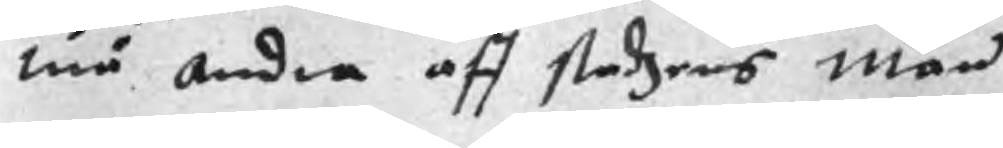må andra aff stadzens män
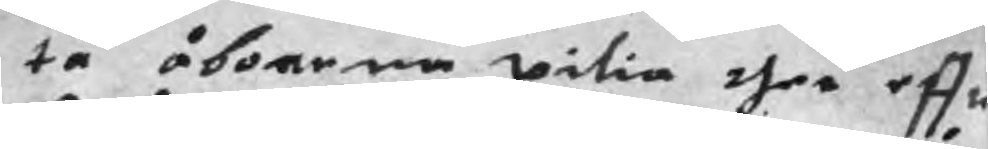ta åboerna witia ther effte
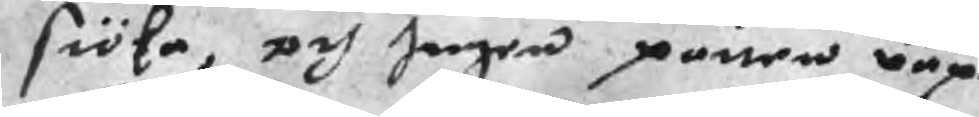siöka, och Ingen parien våpe
